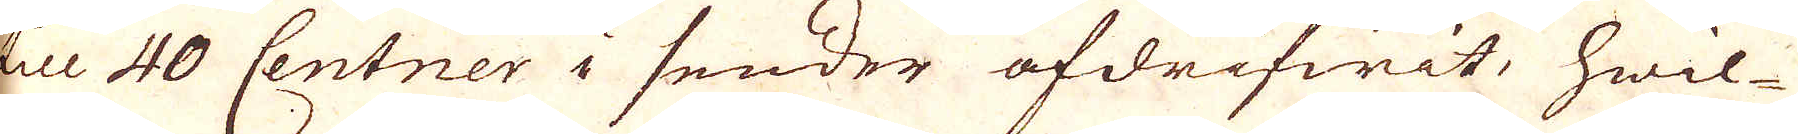till 40 Centner i sender afdrifwit, hwil-
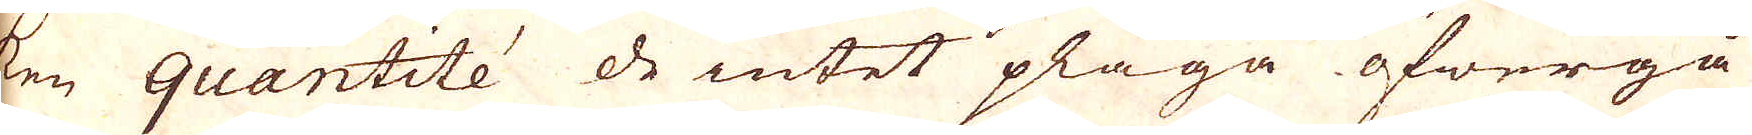ken quantité de intet pläga öfwergå
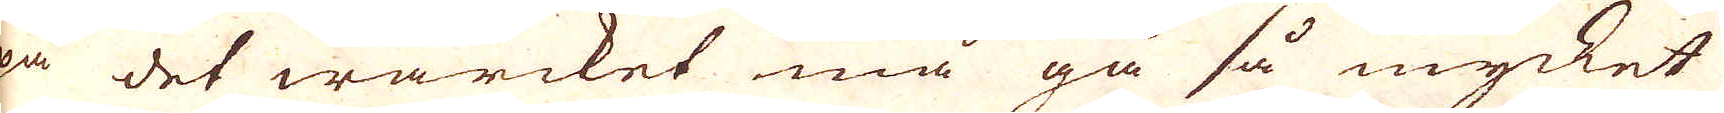på det wärcket må gå så mycket
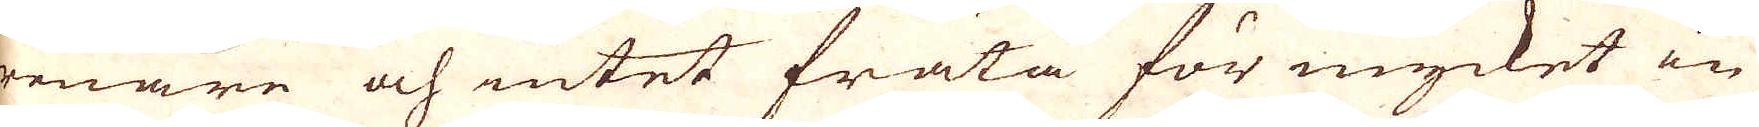renare och intet fräta för mycket in
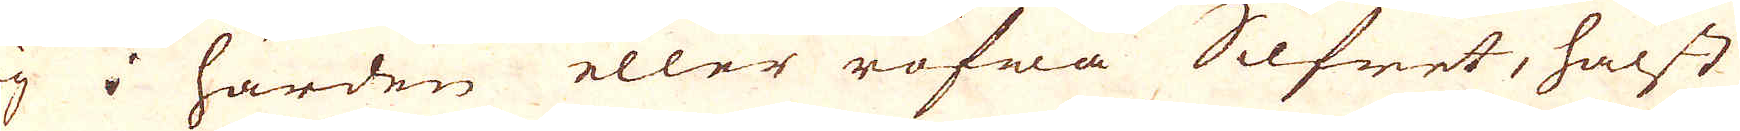sig i härden eller röfwa Silfret, hälst
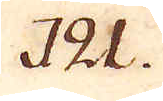121.
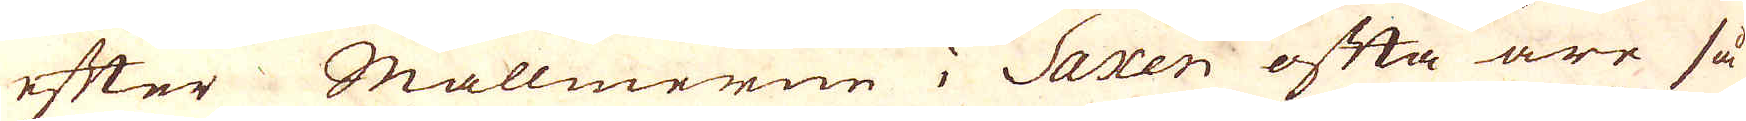efter Mallmerne i Saxen ofta äre så
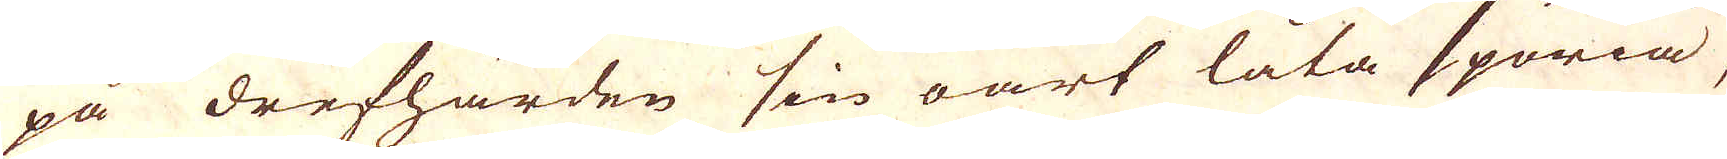på drefhärden sin oart låta spöria,
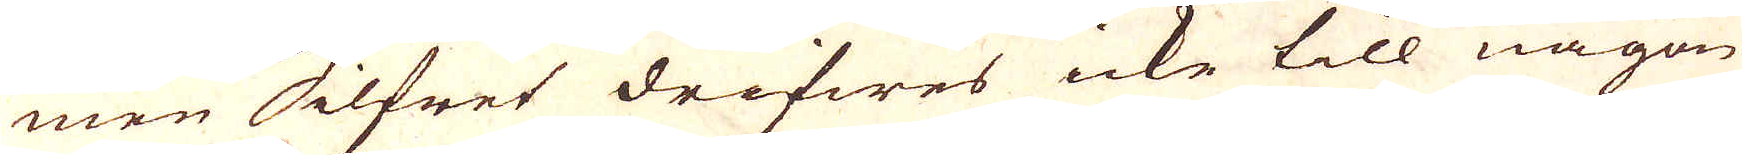men Silfret drifwes icke till någon
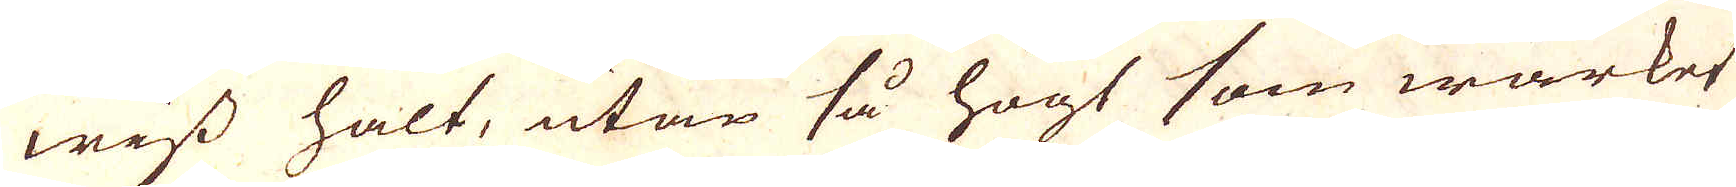wiss halt, utan så högt som wärket
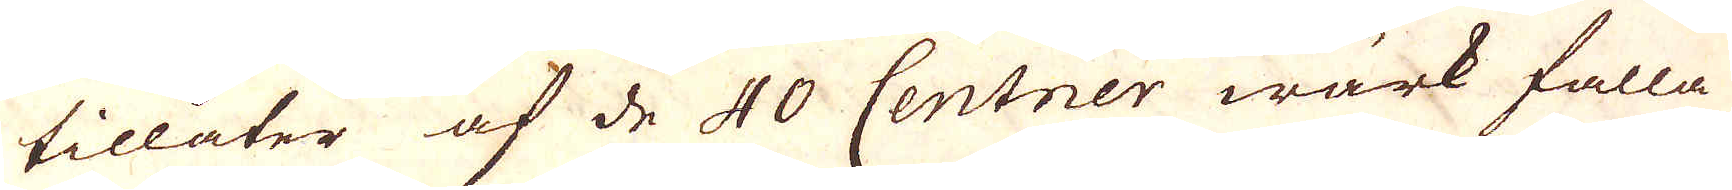tillåter af de 40 Centner wärk falla
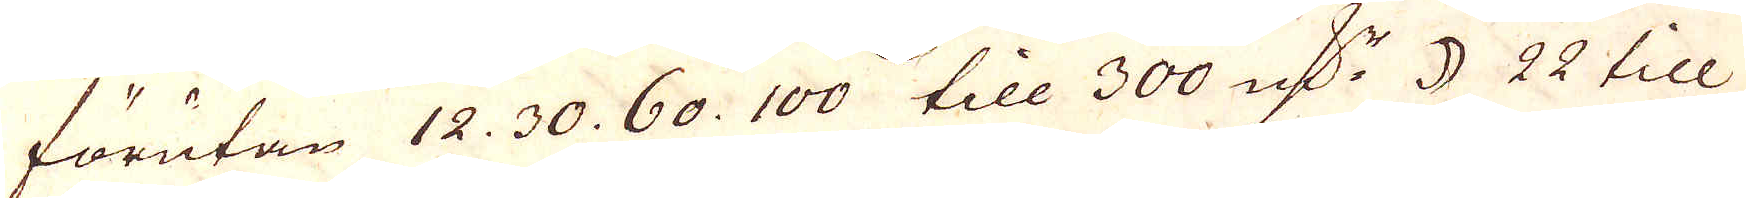förutan 12. 30. 60. 100 till 300 qv:r ☽ 22 till
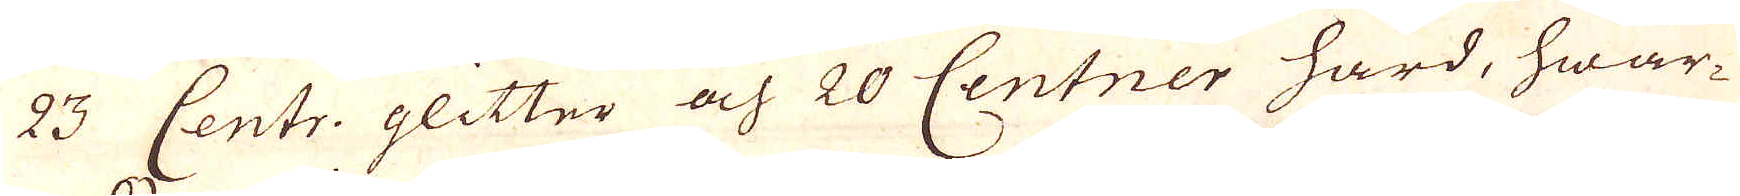23 Centr. glitter och 20 Centner härd, hwar-
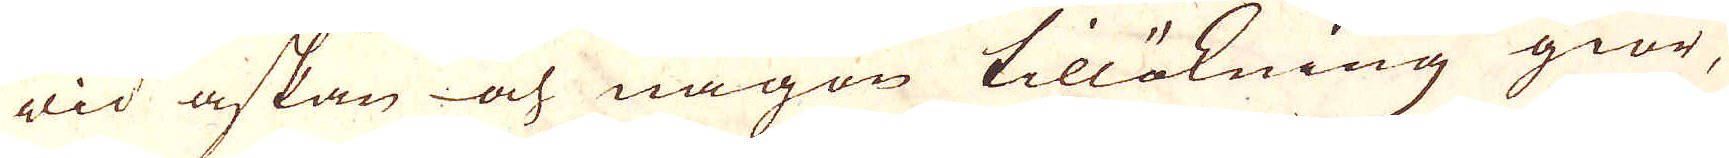wid askan och någon tillökning giör,
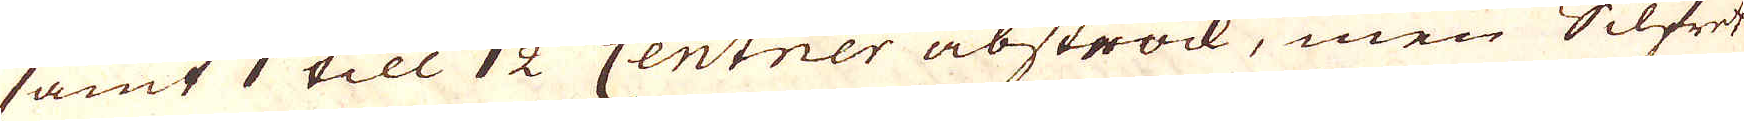samt 1 till 1 1/2 Centner abstrock, men Silfret
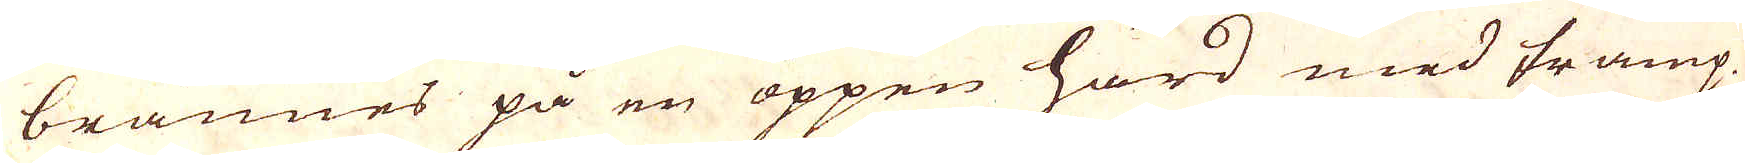brännes på en öppen härd med tramp-
